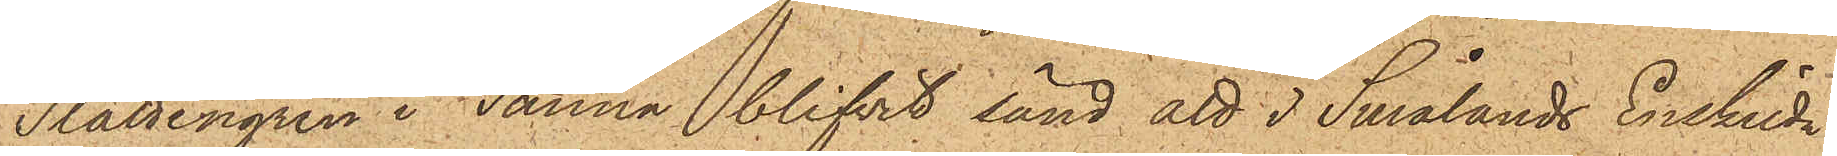Slättengren i Sanna blifvit sänd att i Smålands Enskilda
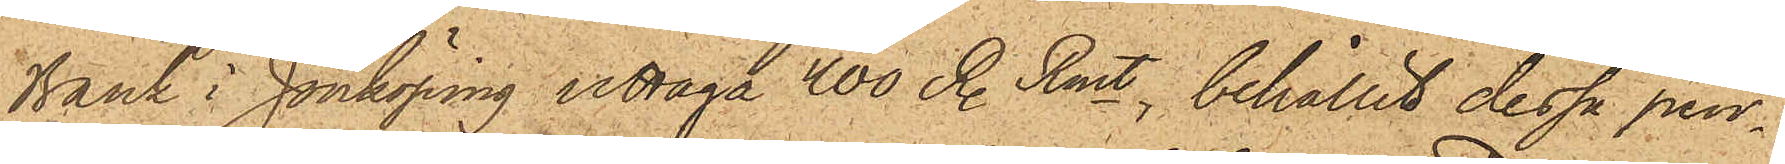Bank i Jönköping uttaga 400 R. Rmt, behållit dessa pen¬
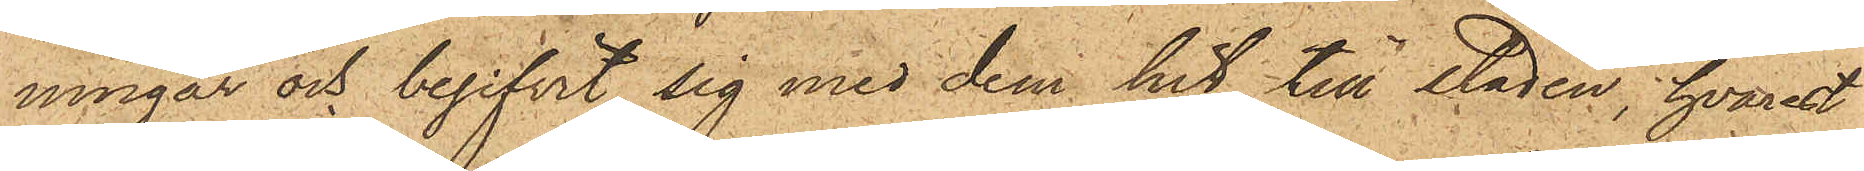ningar och begifvit sig med dem hit till staden, hvarest
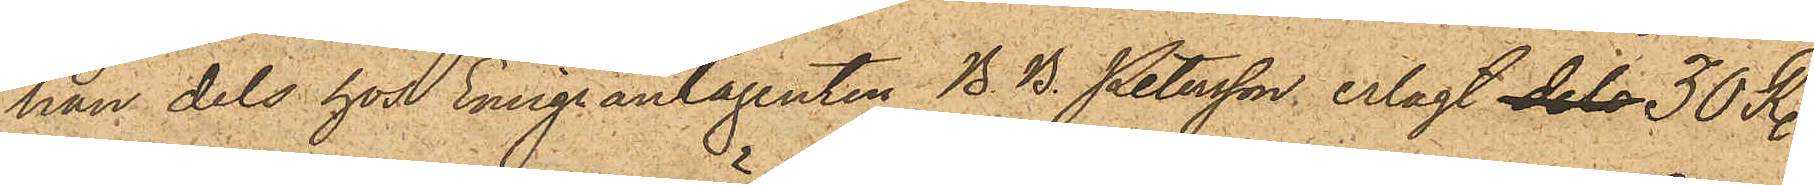han dels hos Emigrantagenten B. B. Petersson erlagt dels 30 R.
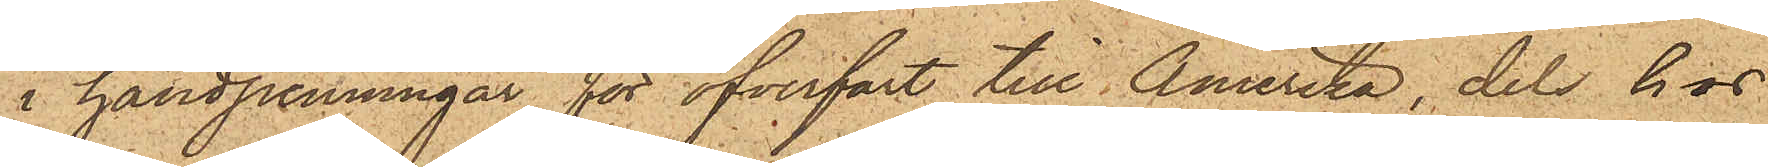i handpenningar för öfverfart till Amerika, dels hos
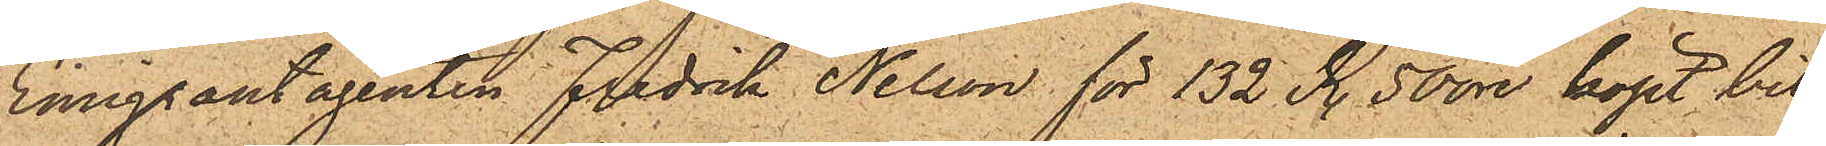Emigrantagenten Fredrik Nelson för 132 R. 50 öre köpt bil¬
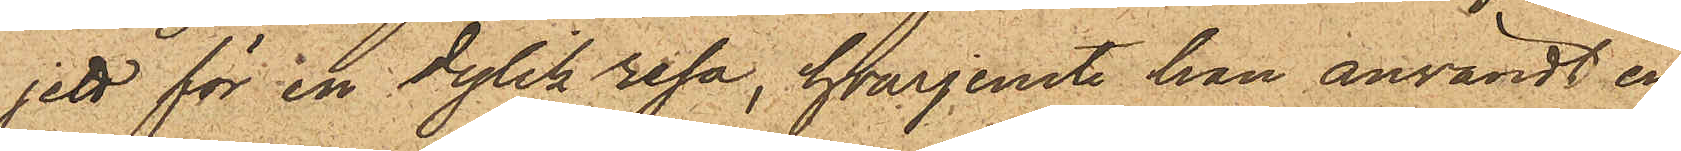jett för en dylik resa, hvarjemte han användt en
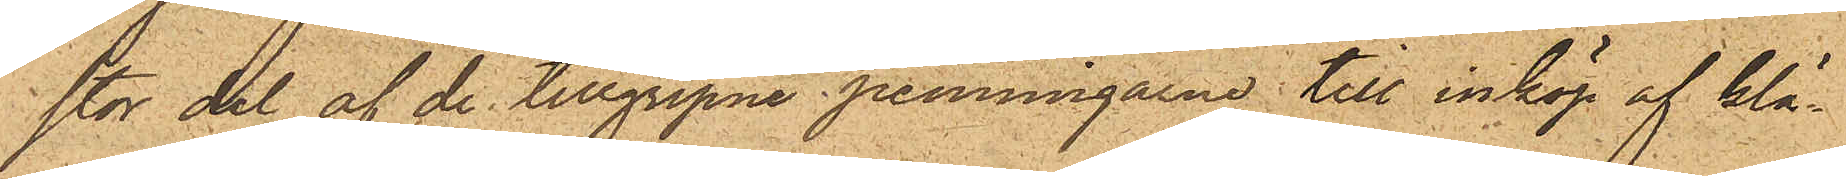stor del af de tillgripne penningarne till inköp af klä¬
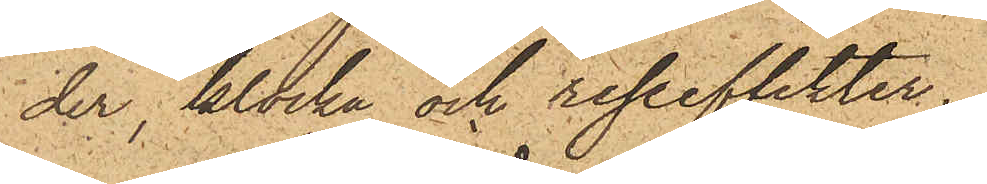der, klocka och reseeffekter.
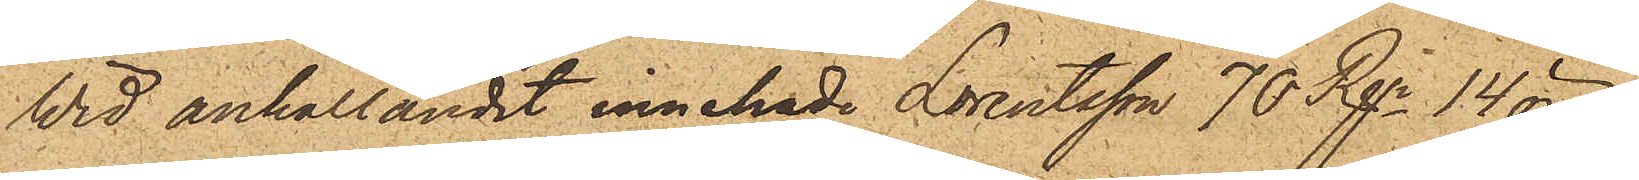Wid anhållandet innehade Lorentsson 70 Rgr. 14 öre
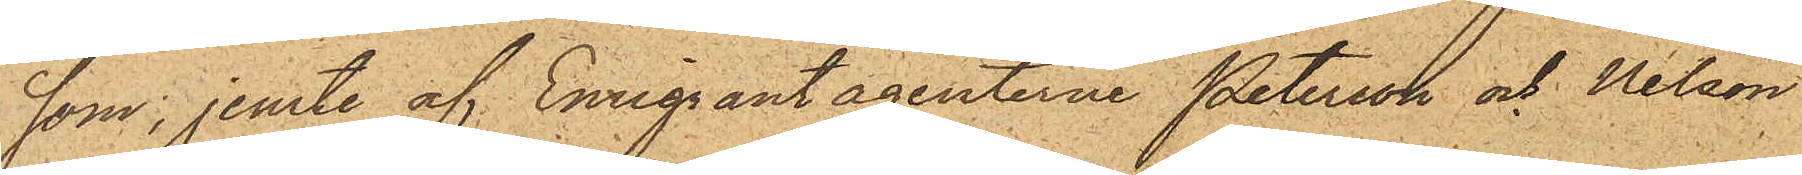som, jemte af Emigrantagenterne Peterson och Nelson,
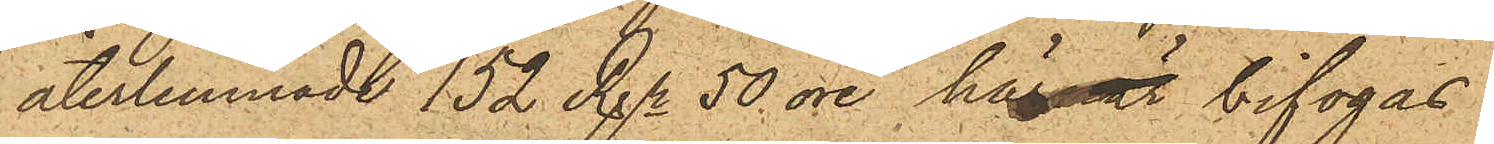återlemnade 152 Rgr 50 öre här är bifogas.
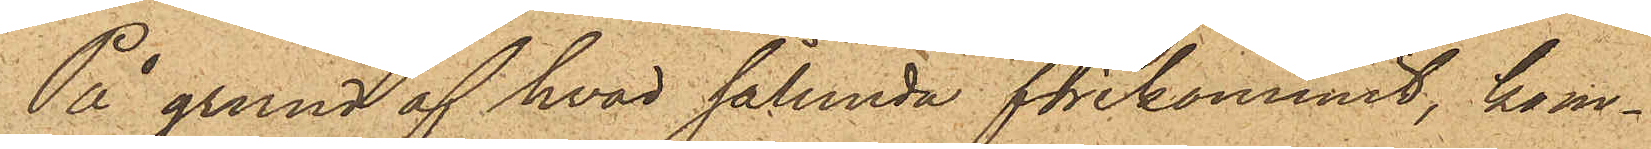På grund af hvad sålunda förekommit, kom¬
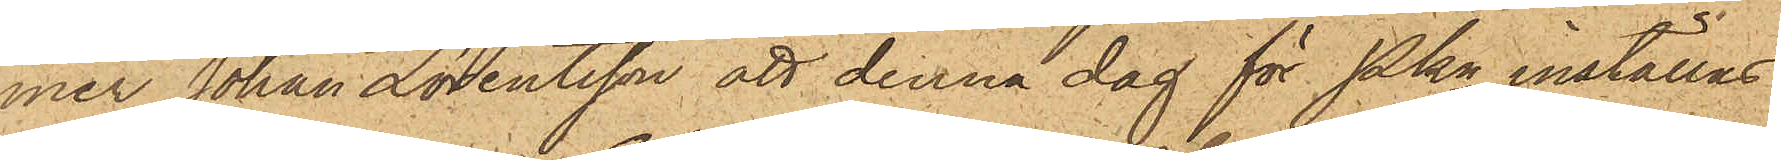mer Johan Lorentsson att denna dag för Pkn inställas.
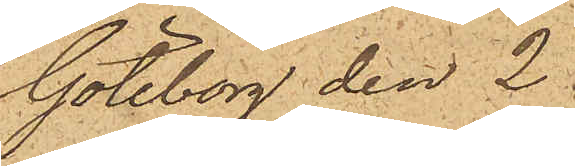Göteborg den 2
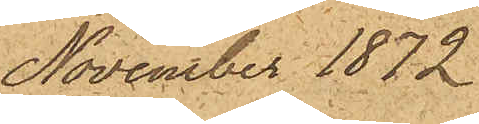November 1872
